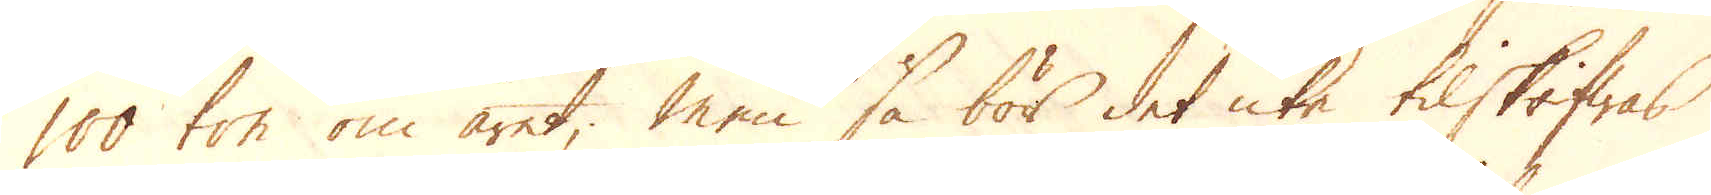100 ton om året; men så bör det icke tilskrifwas
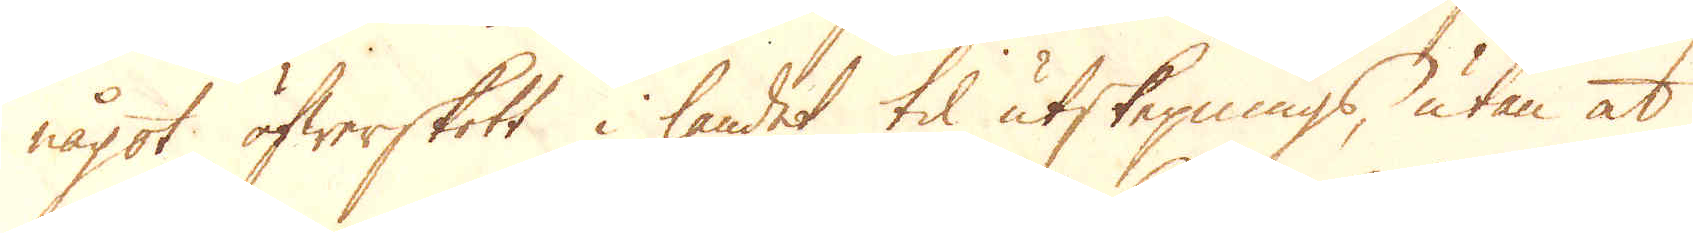något öfwerskott i landet til utskepnings, utan at
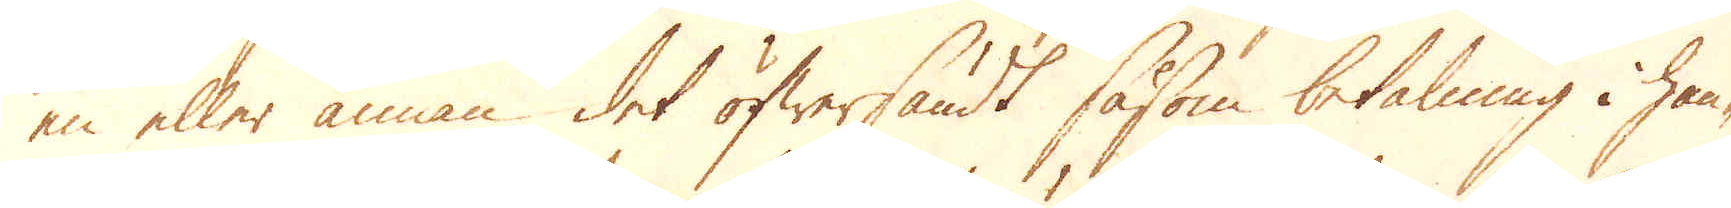en eller annan det öfwersändt såsom betalning i han-
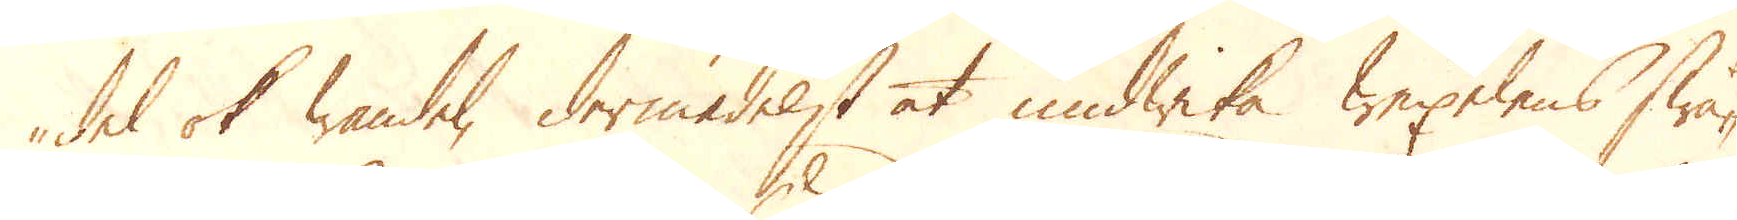del ok wandel, dermedelst at undwika wexelens swå-
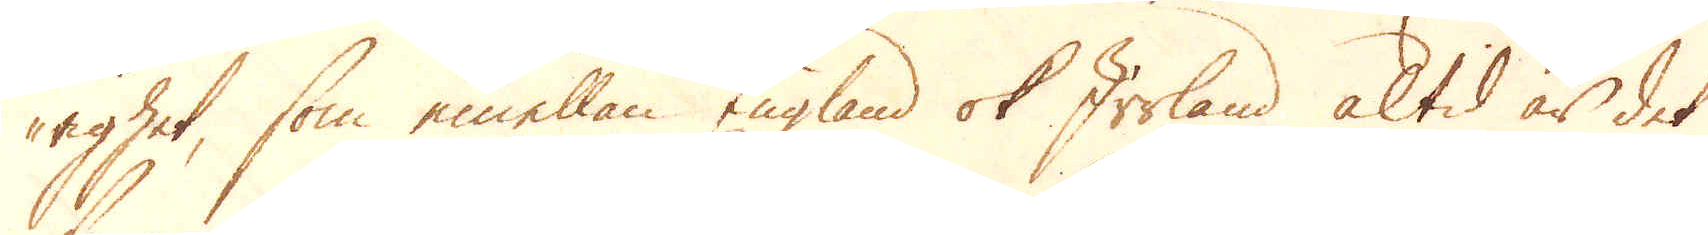righet, som emellan England ok Irrland altid är det
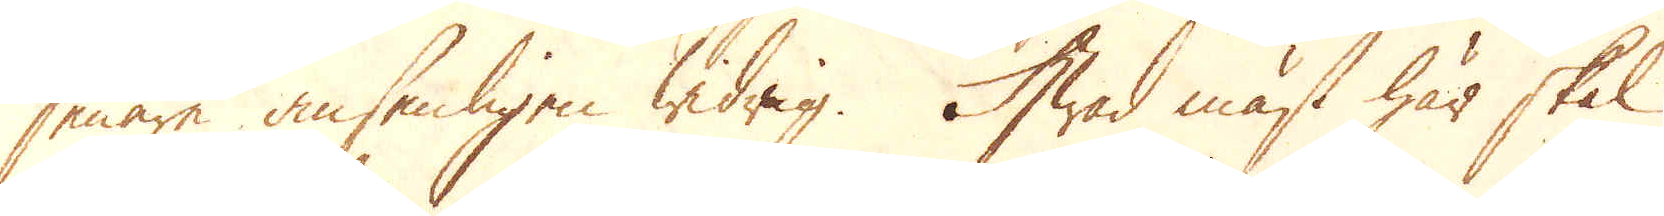senare ansenligen widrig. Hwad mäst här skal
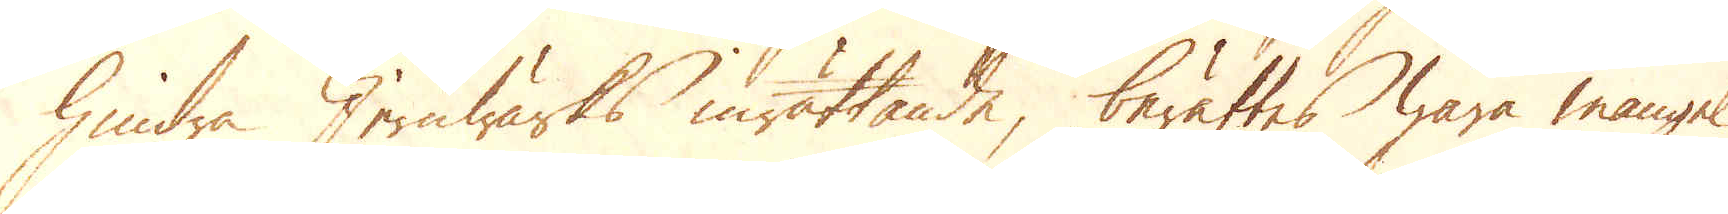hindra Jernwärks inrättande, berättes wara mangel
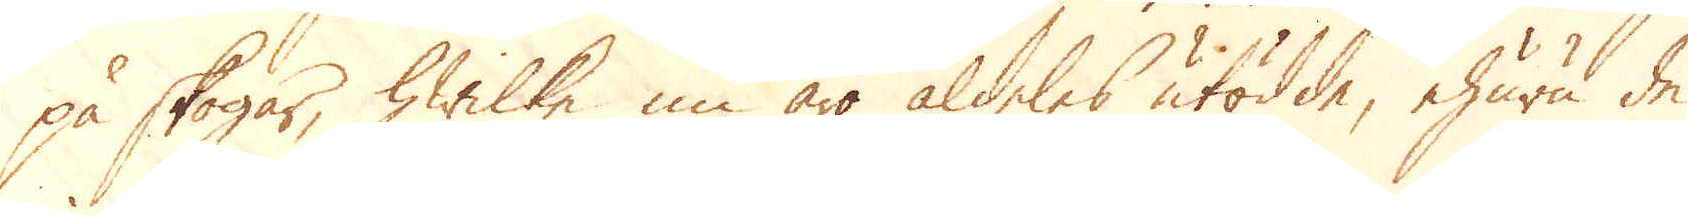på skogar, hwilka nu äro aldeles utödde, ehuru de
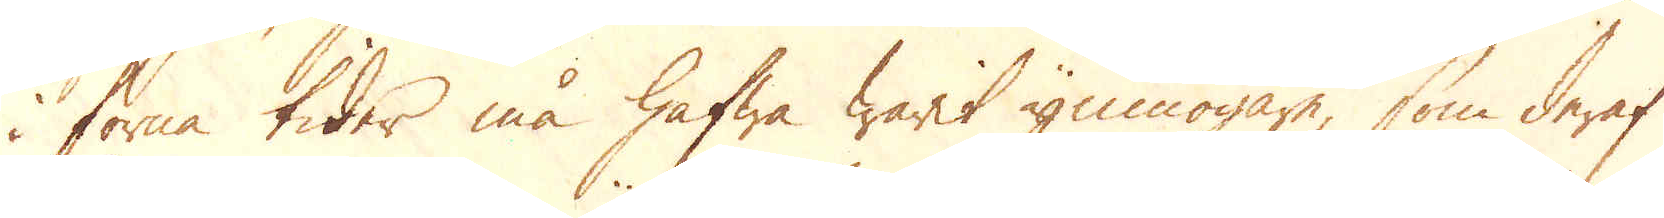i forna tider må hafwa warit ymnogare, som deraf
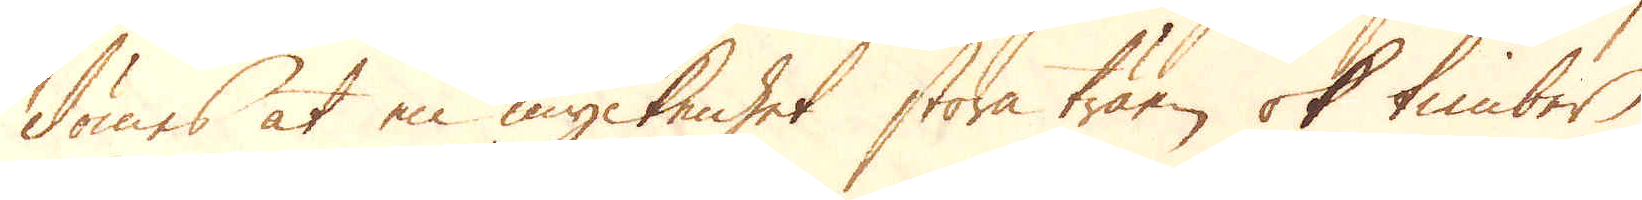dömes at en myckenhet stora träen ok timber
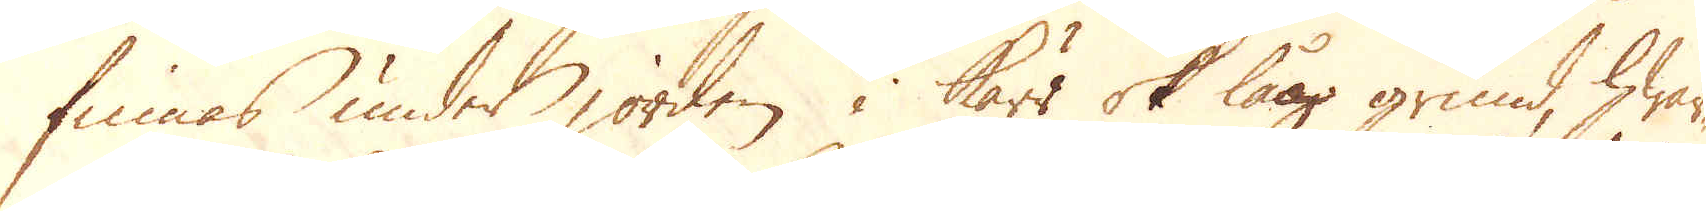finnas under jorden i kärr ok låg grund, hwar-
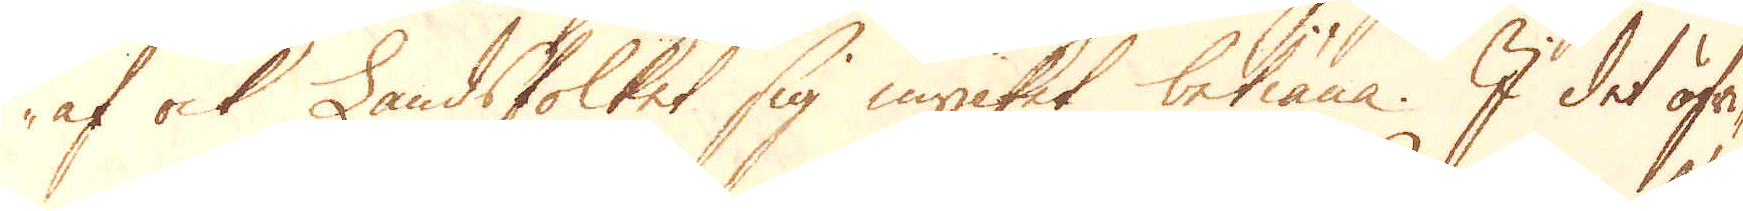af ock Landsfolket sig mycket betiäna. I det öfri-
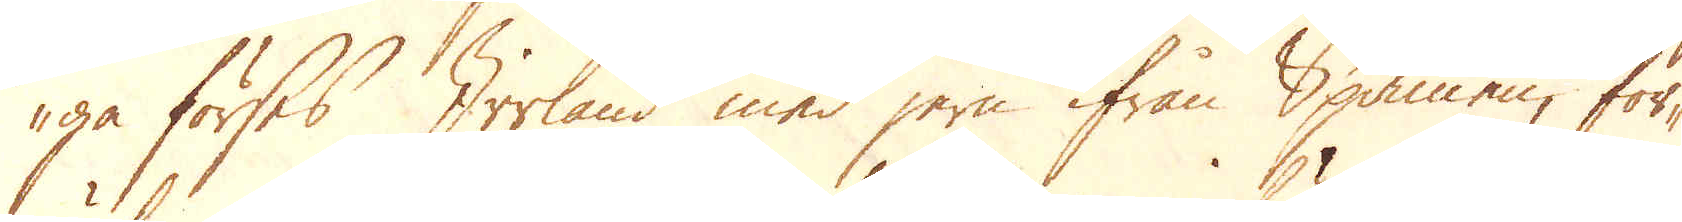ga förses Irrland med jern ifrån Spanien, för-
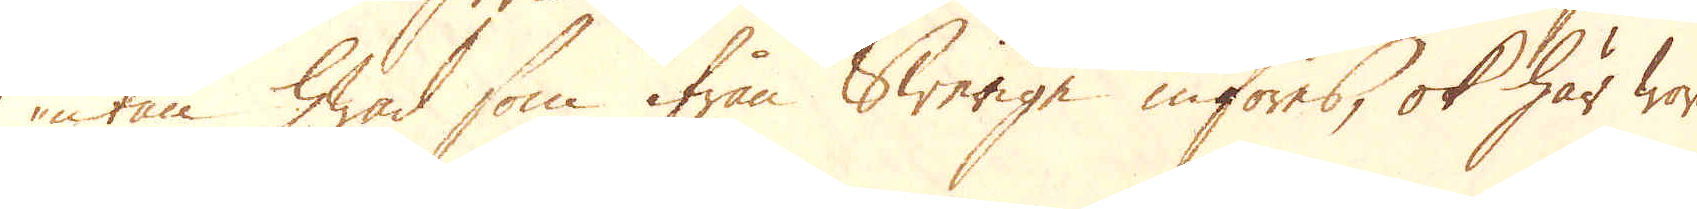utan hwad som ifrån Swerige införes, ok här woro
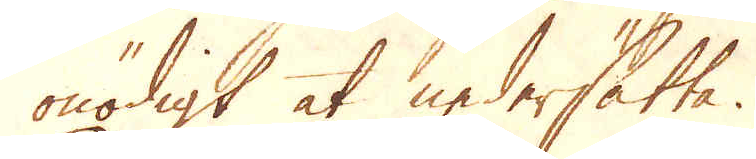onödigt at nedersätta.
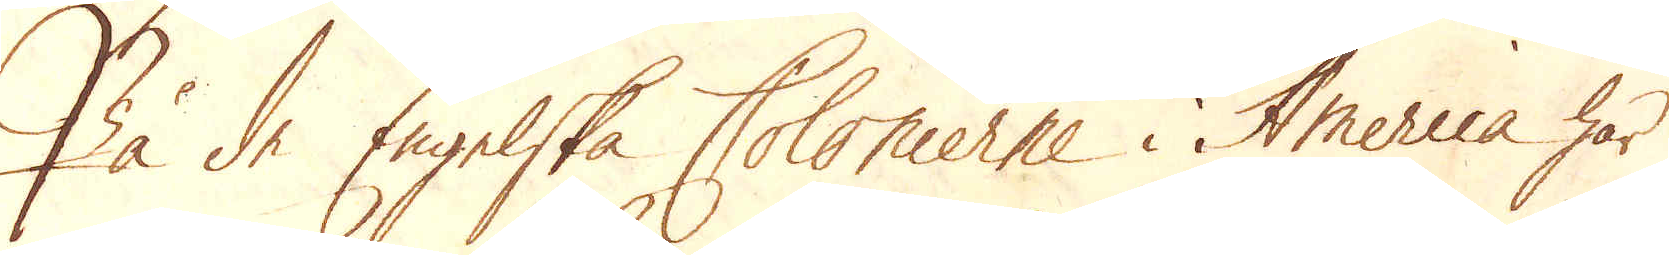På de Engelske Colonierne i America har
